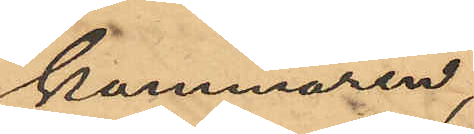kammaren,
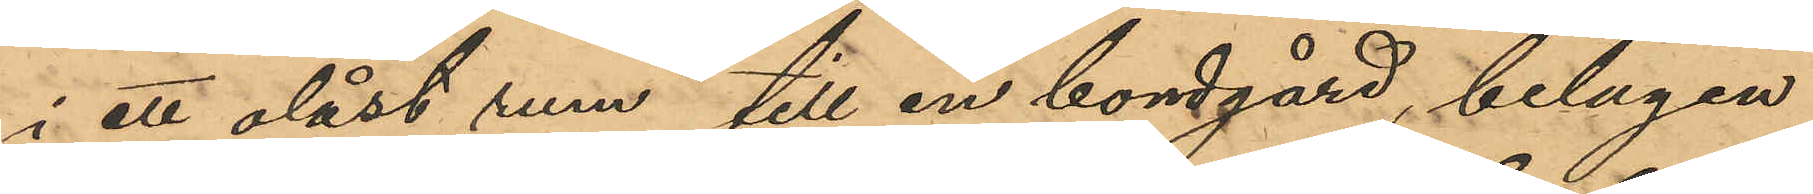i ett olåst rum till en bondgård, belägen
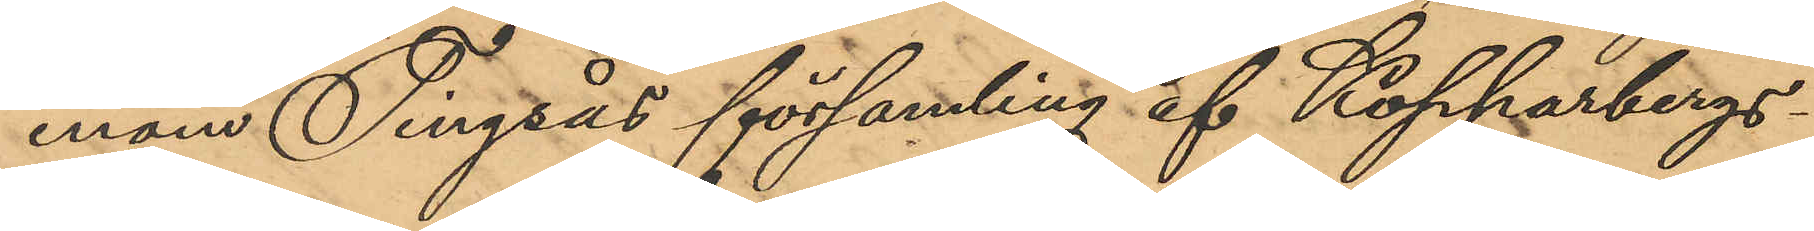inom Tingsås församling af Kopparbergs
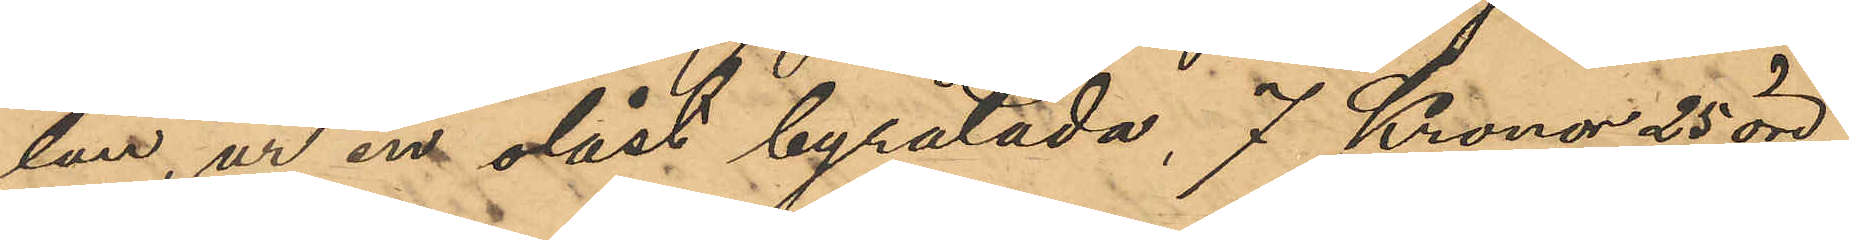län, ur en olåst byrålåda, 7 Kronor 25 öre,
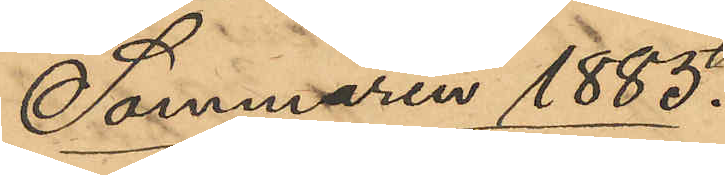Sommaren 1885.
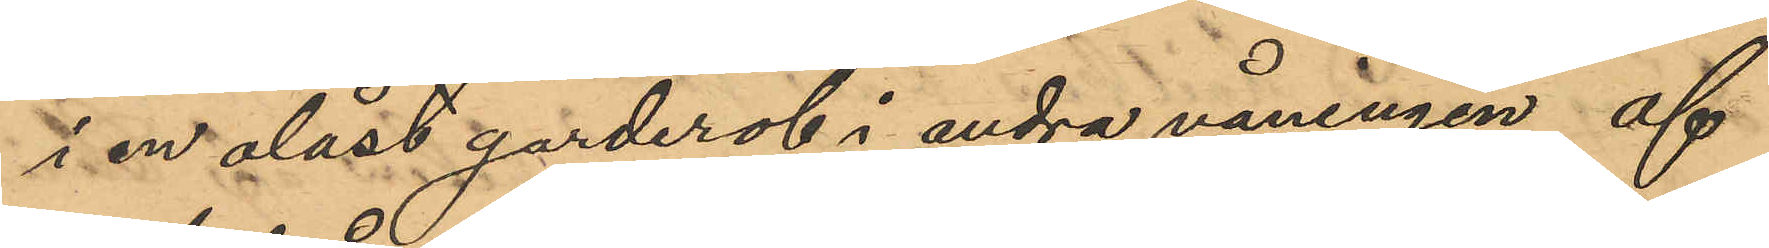i en olåst garderob i andra våningen af
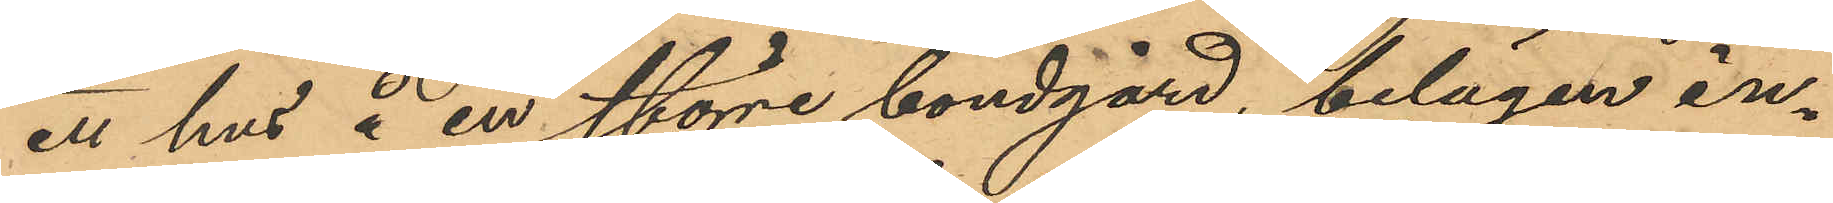ett hus å en större bondgård, belägen in¬
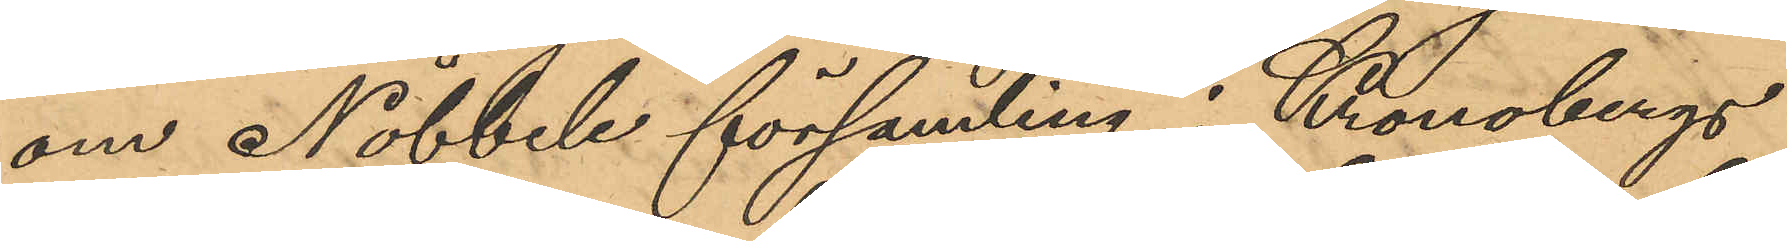om Nöbbele församling i Kronobergs
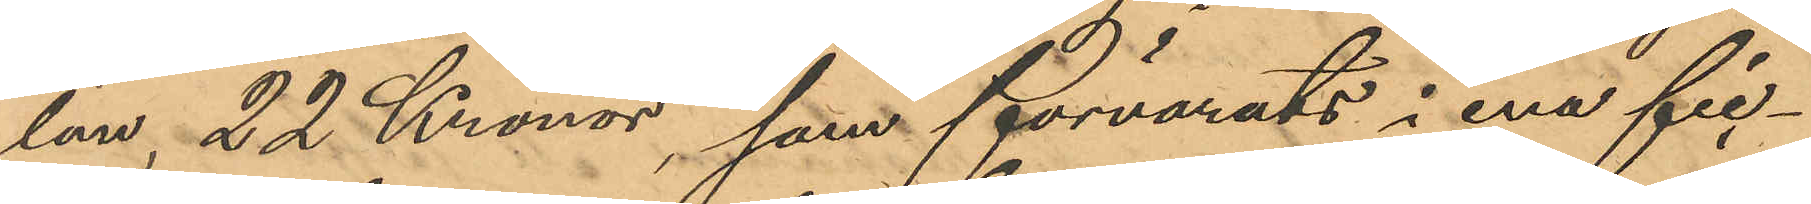län, 22 Kronor, som förvarats i ena fic¬
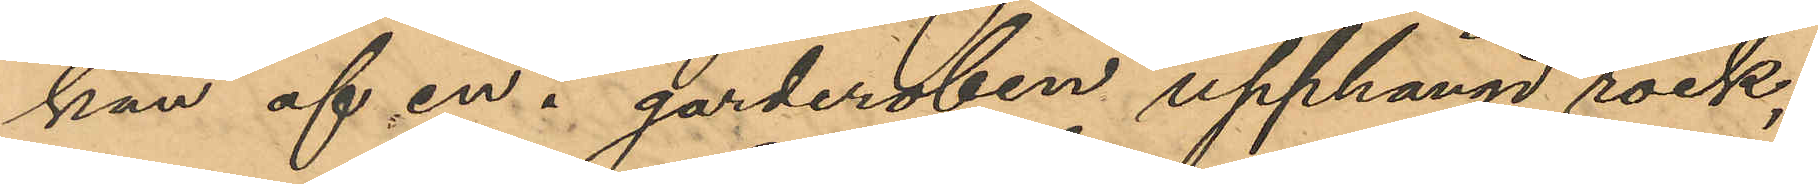kan af en i garderoben upphängd rock,
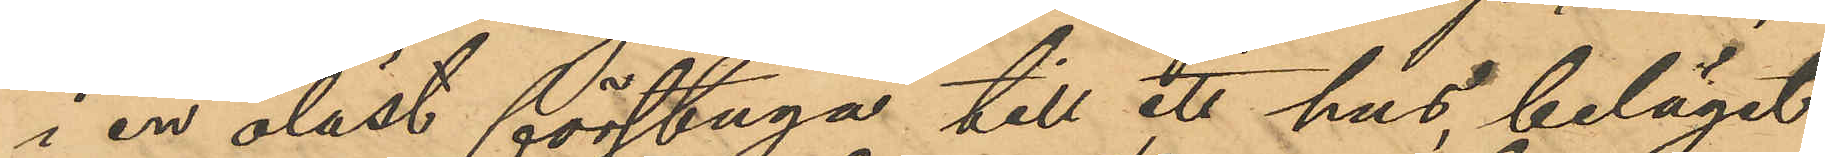i en olåst förstuga till ett hus, beläget
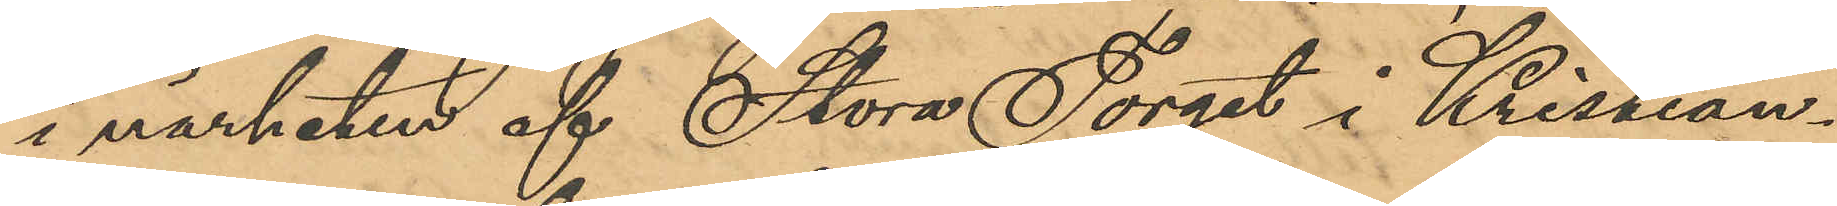i närheten af Stora Torget i Kristian¬
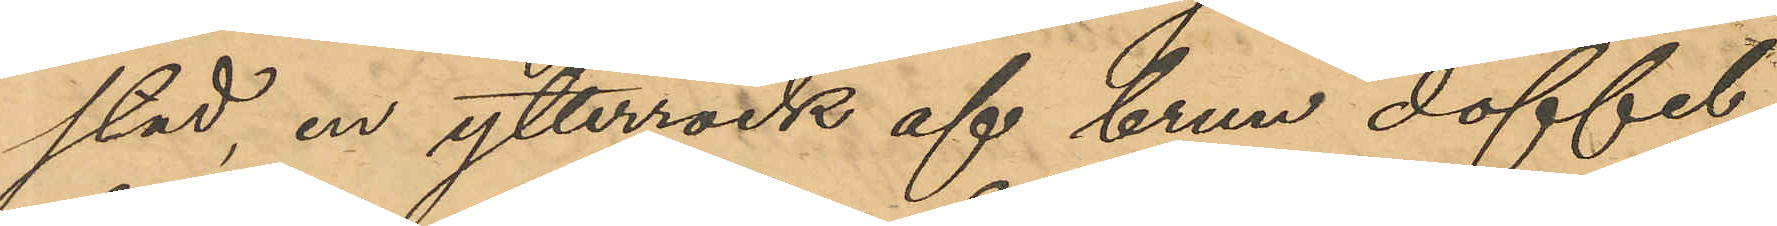stad, en ytterrock af brun doffel,
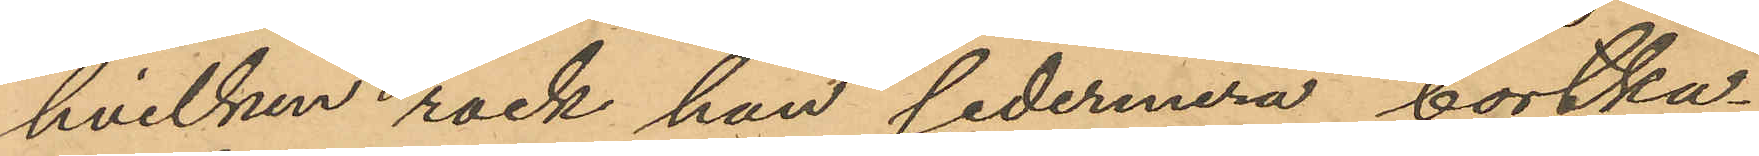hvilken rock han sedermera bortka¬
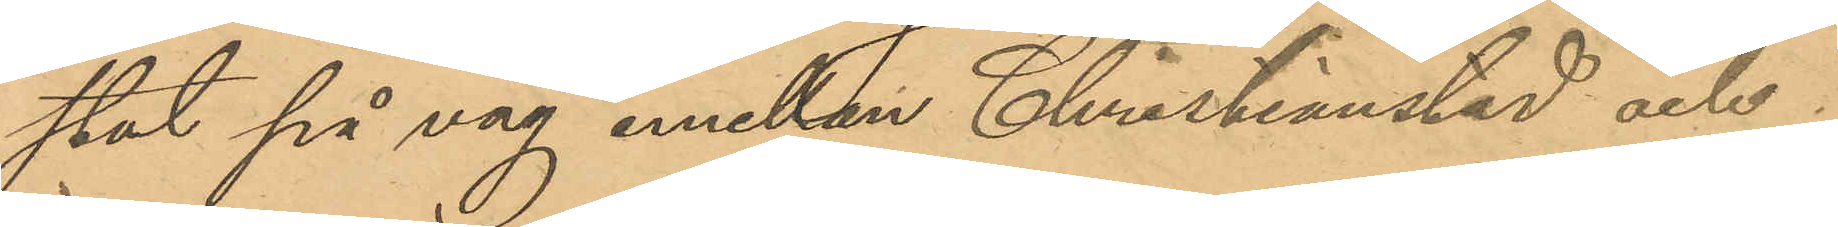stat på väg emellan Christianstad och
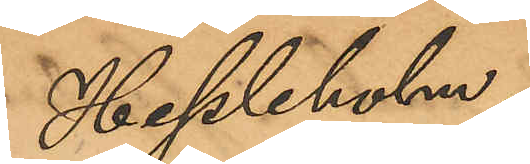Hessleholm,
